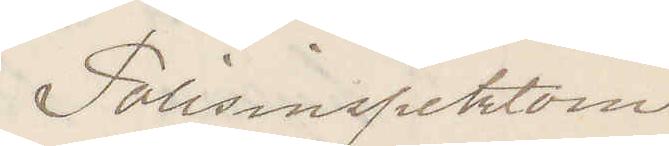Polisinspektorn
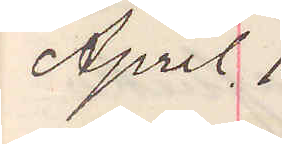April 1.
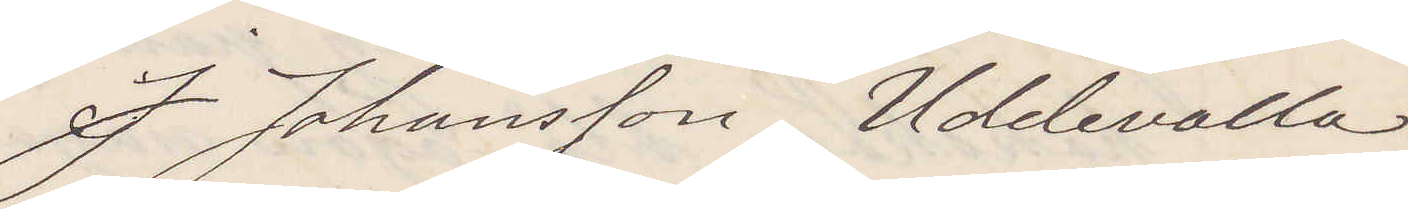J Johansson Uddevalla
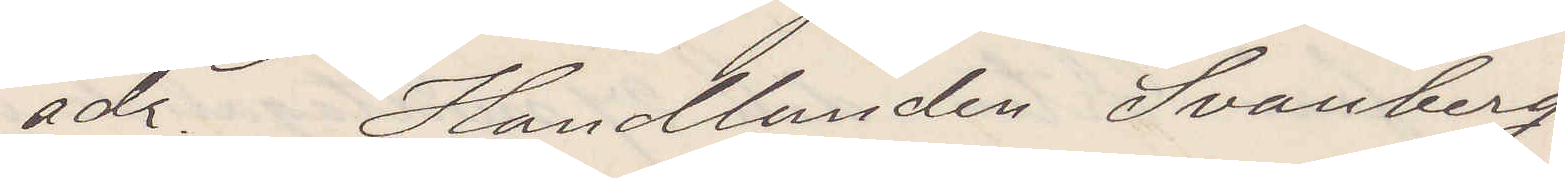adr. Handlanden Svanberg
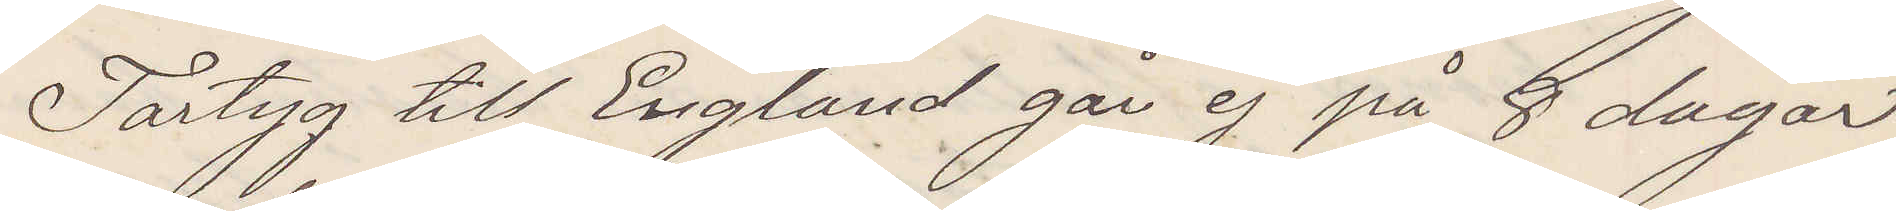Fartyg till England går ej på 8 dagar
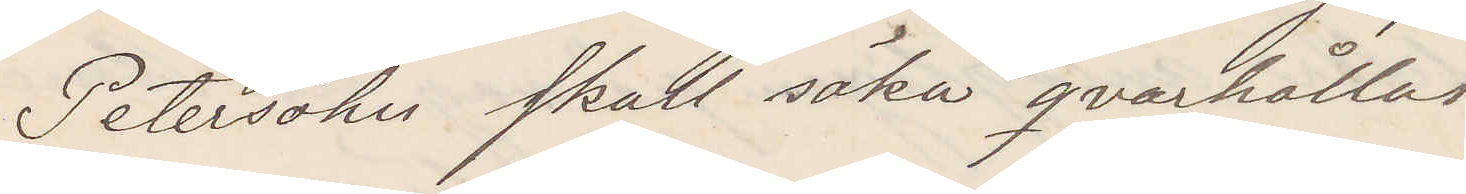Petersohn skall söka qvarhållas
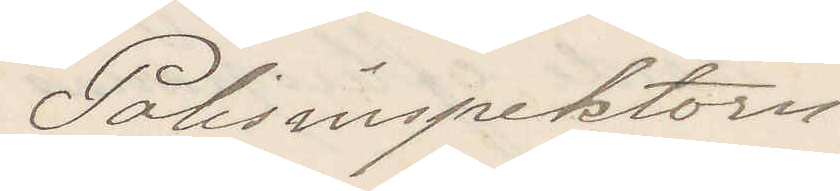Polisinspektorn
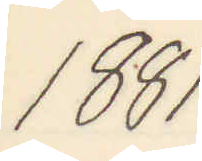1881
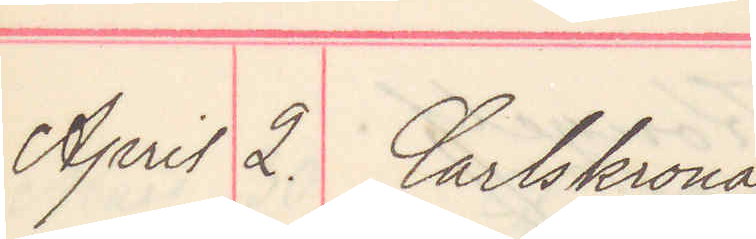April 2. Carlskrona
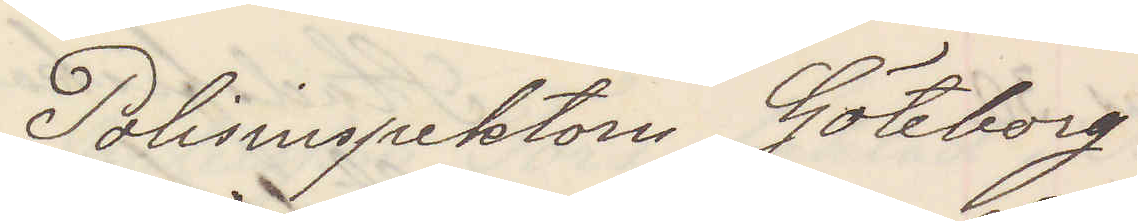Polisinspektorn Göteborg
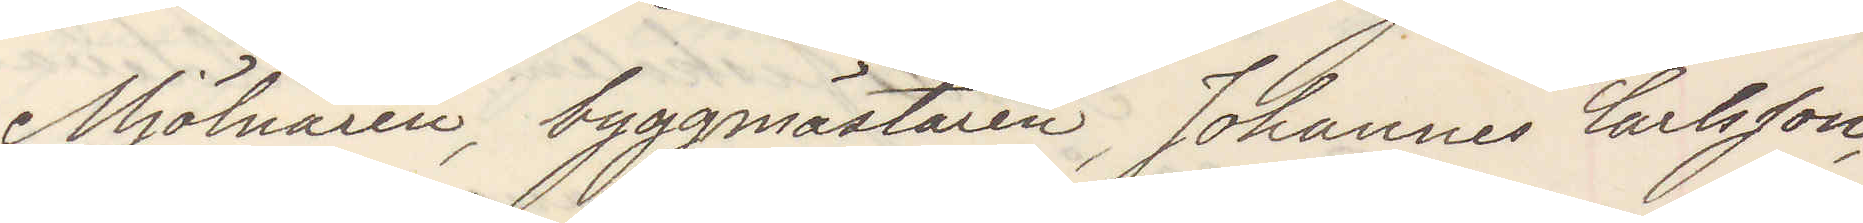Mjölnaren, byggmästaren, Johannes Carlsson,
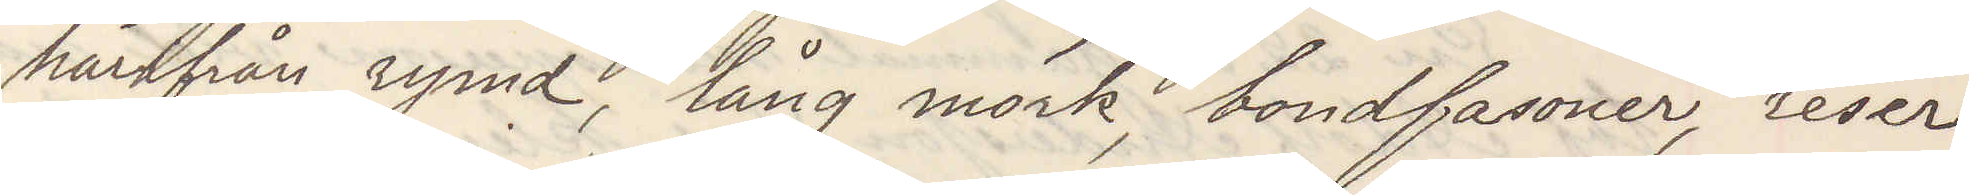härifrån rymd, lång mörk, bondfasoner, reser
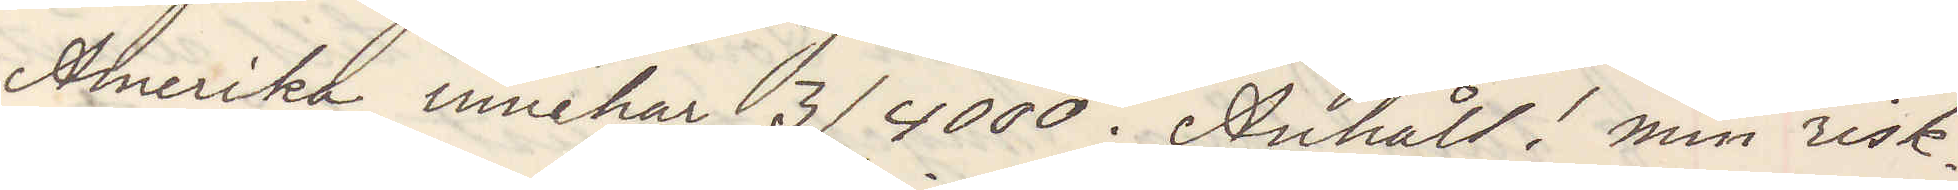Amerika, innehar 3/4000. Anhåll! min risk.
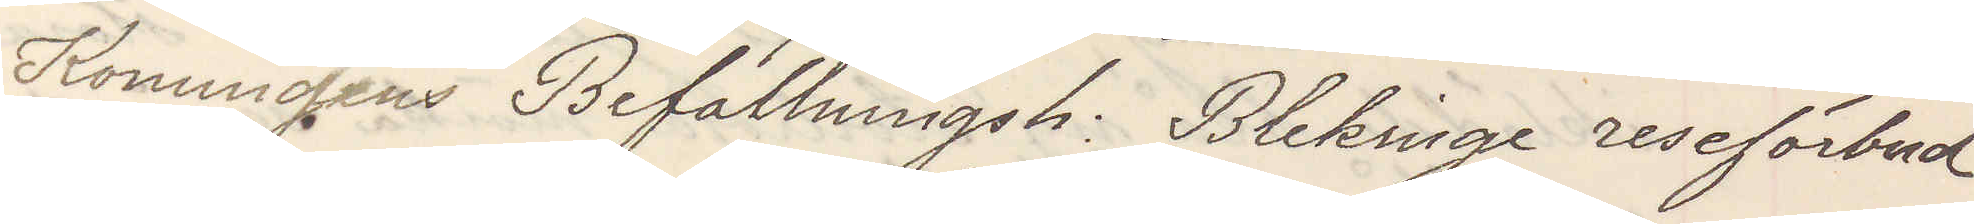Konungens Befallningsh: Blekinge reseförbud
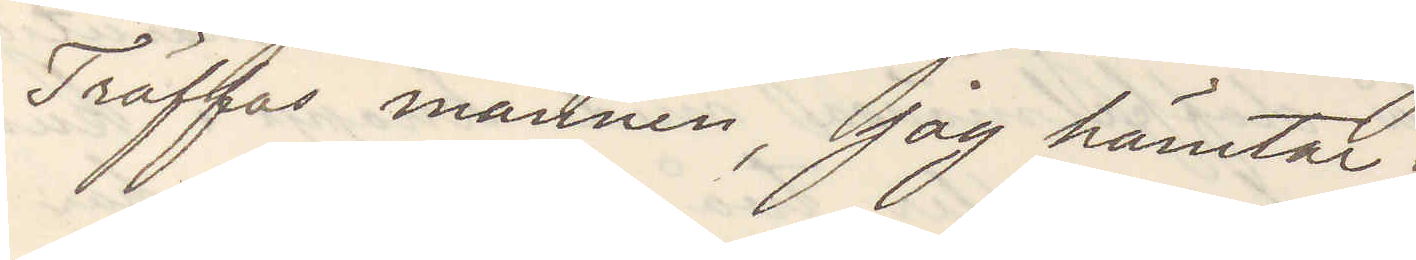Träffas mannen, Jag hämtar.
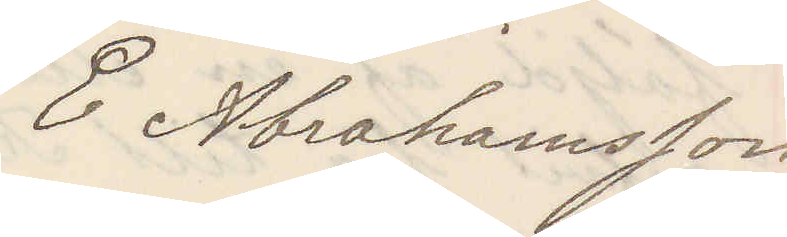E Abrahamsson
